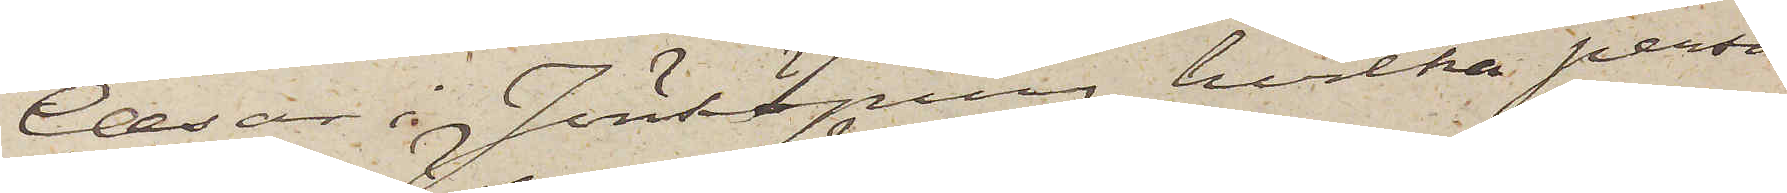Cæsar i Jönköping, hvilka perso¬
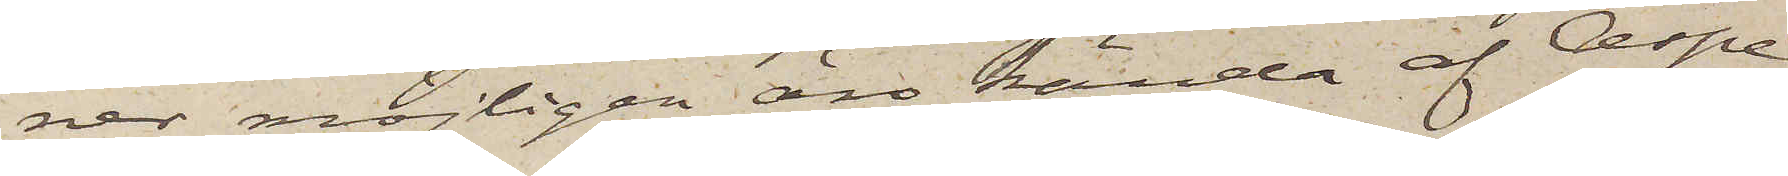ner möjligen äro kända af Aspe¬
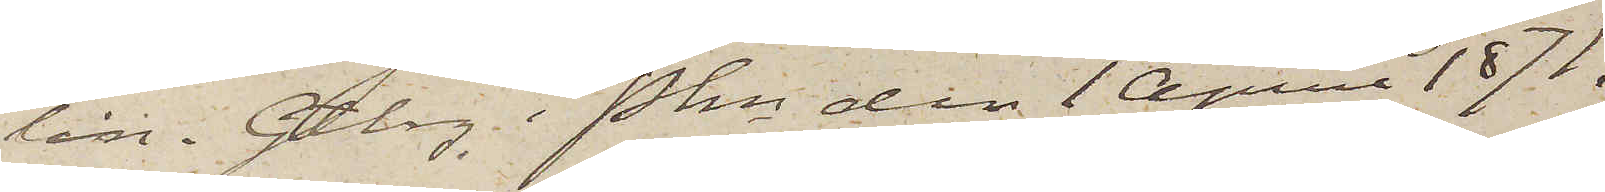lin. Gtbrg i Pkn den 1 April 1871.
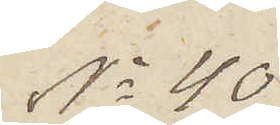No 40
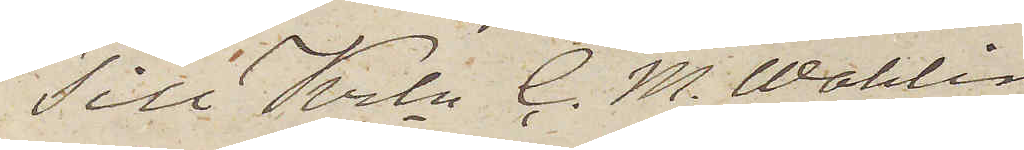Till Krln C. M. Wahlin
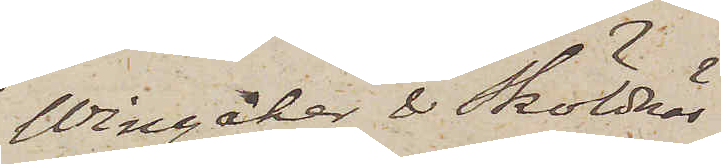Wingåker & Sköldnäs.
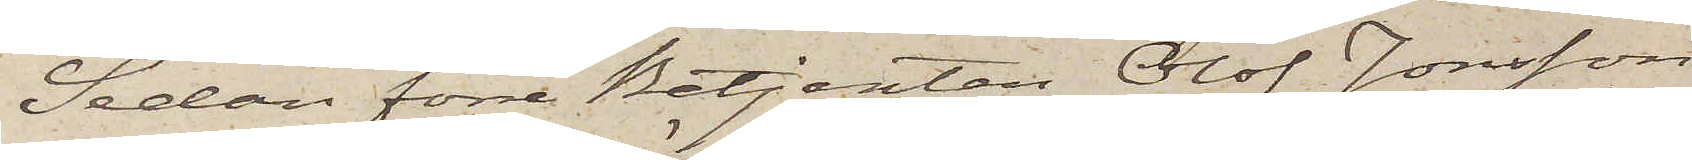Sedan förre Betjenten Olof Jonsson
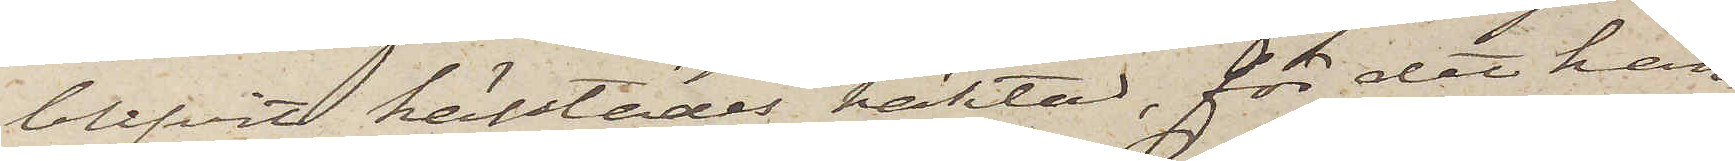blifvit härstädes häktad, för det han
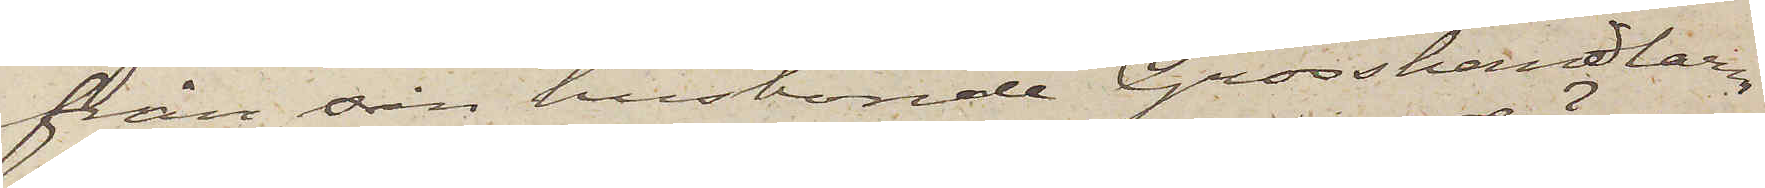från sin husbonde Grosshandlaren
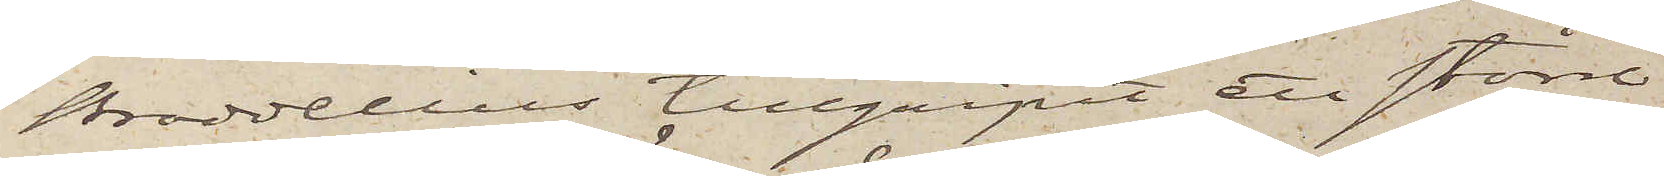Broddelius tillgripit ett större
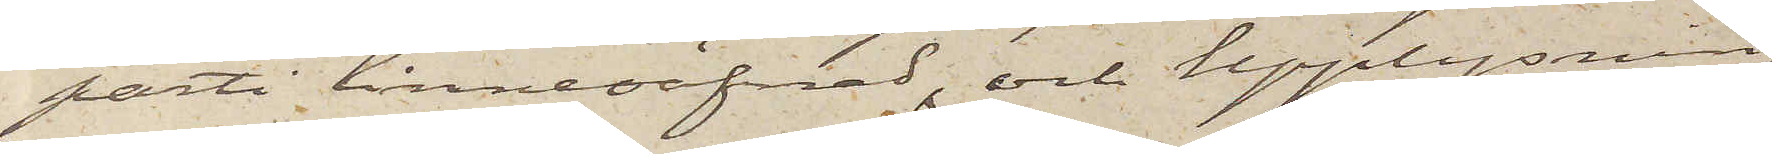parti linneväfnad, och upplysning
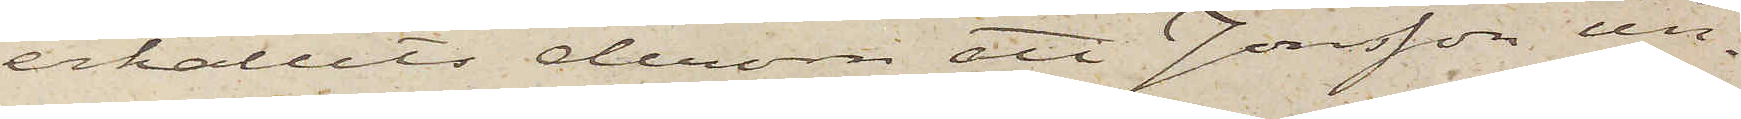erhållits derom att Jonsson un¬
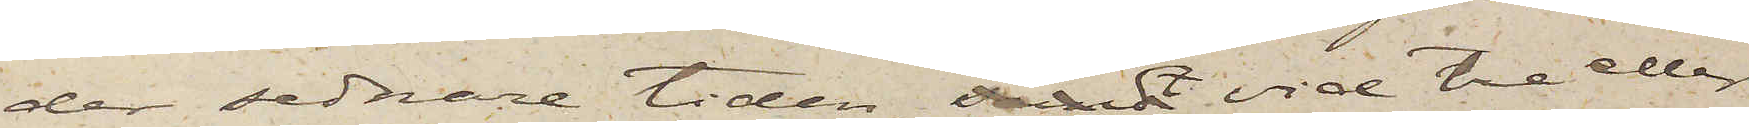der sednare tiden sändt vid tre eller
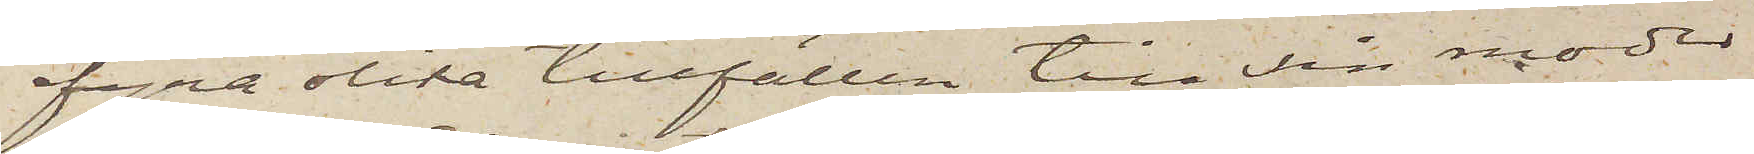fyra olika tillfällen till sin moder
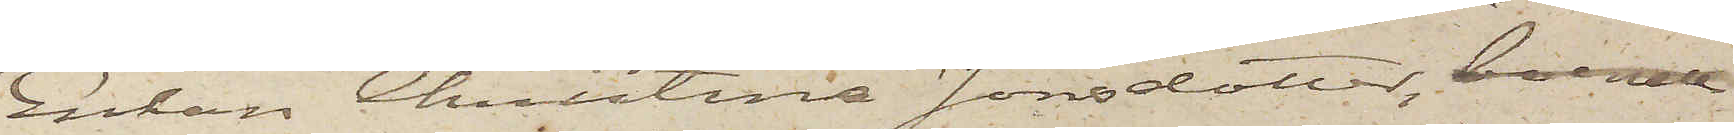Enkan Christina Jonsdotter, boende
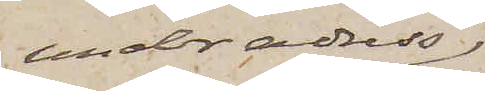under adress,
